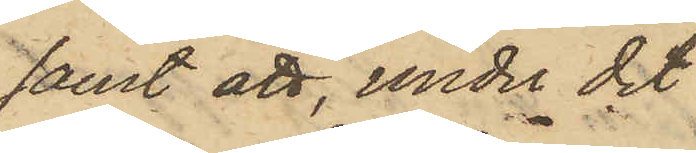samt att, under det
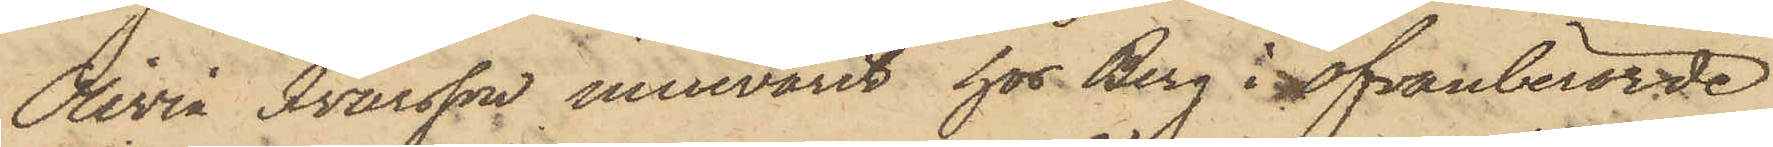Olivia Ivarsson innevarit hos Berg i ofvanberörde
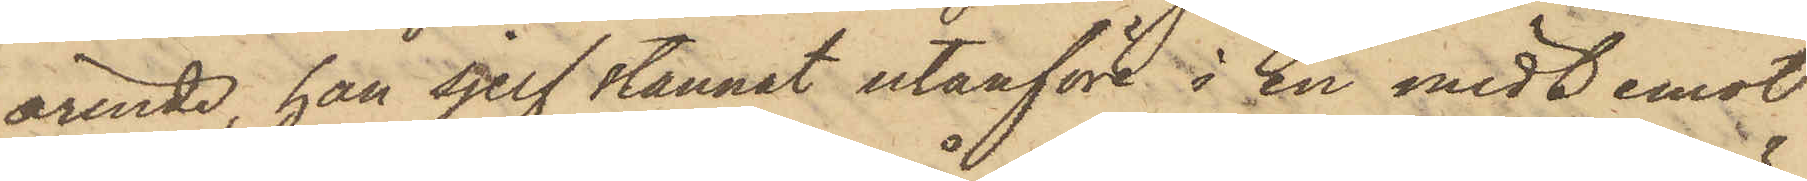ärende, han sjelf stannat utanföre å en midt emot
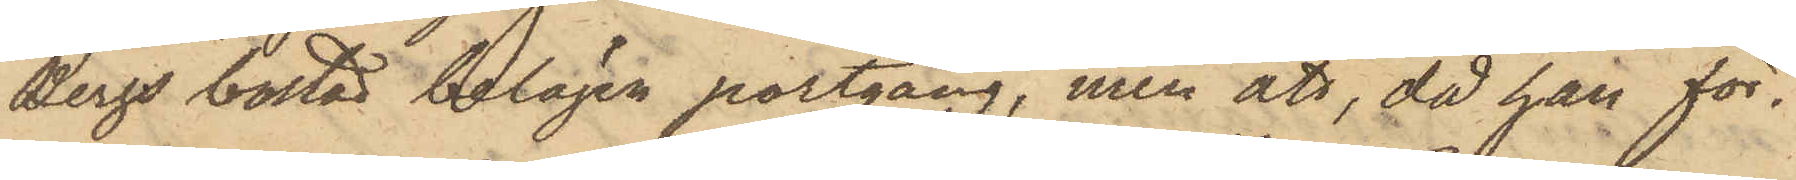Bergs bostad belägen portgång, men att, då han för¬
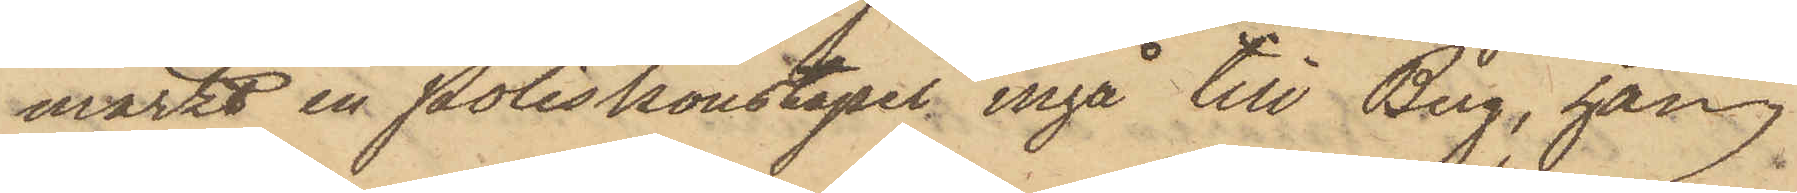märkt en Poliskonstapel ingå till Berg, han
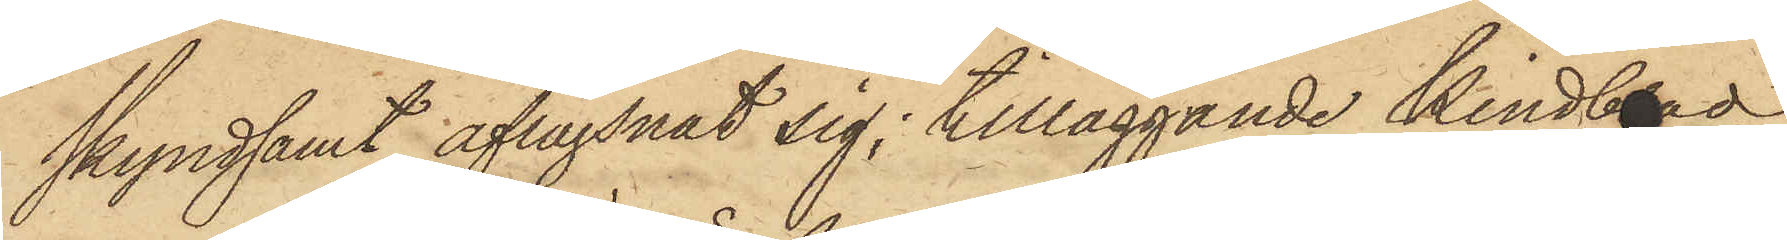skyndsamt aflägsnat sig; tilläggande Kindberg
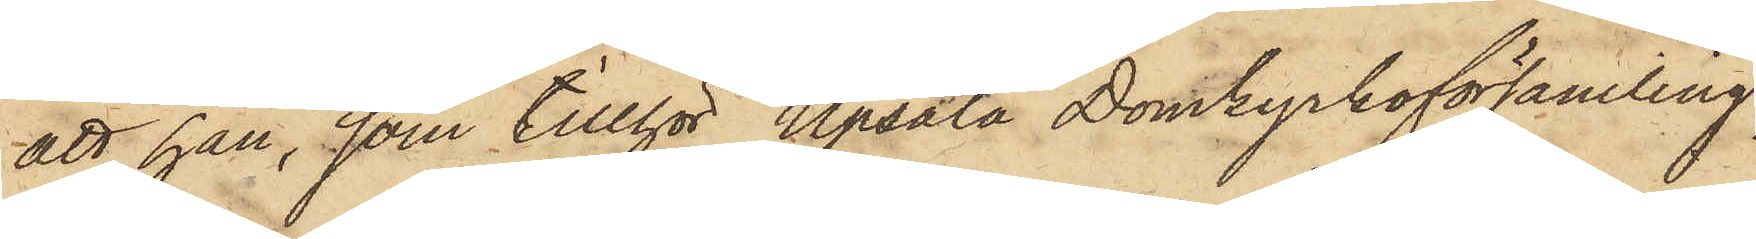att han, som tillhör Upsala Domkyrkoförsamling,
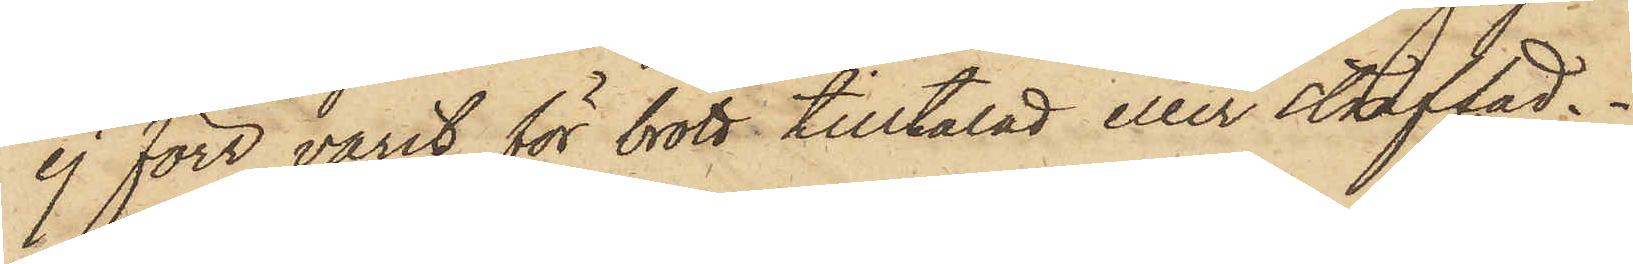ej förr varit för brott tilltalad eller straffad.
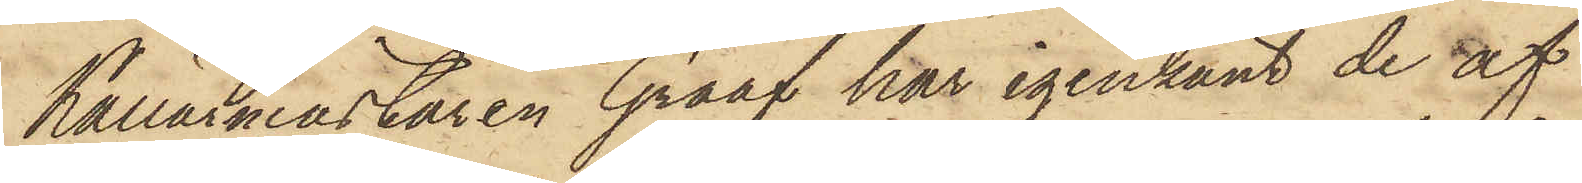Källarmästaren Graf har igenkänt de af
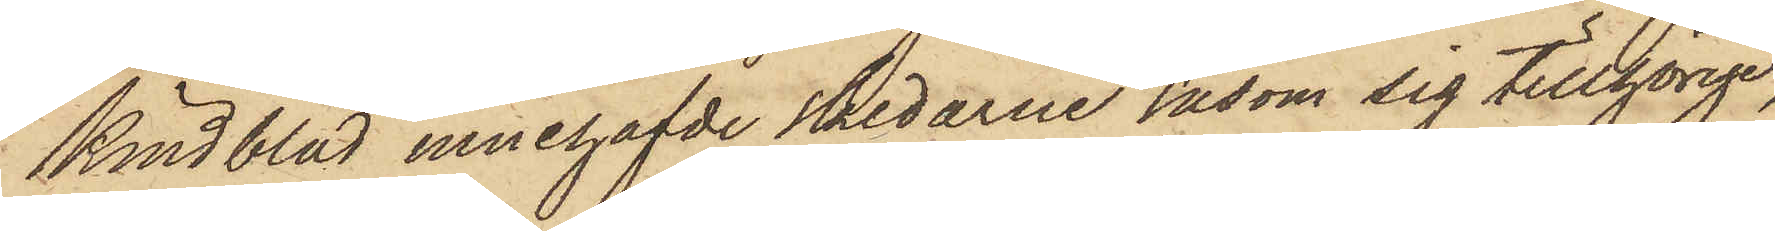Kindblad innehafvde skedarne såsom sig tillhörige,
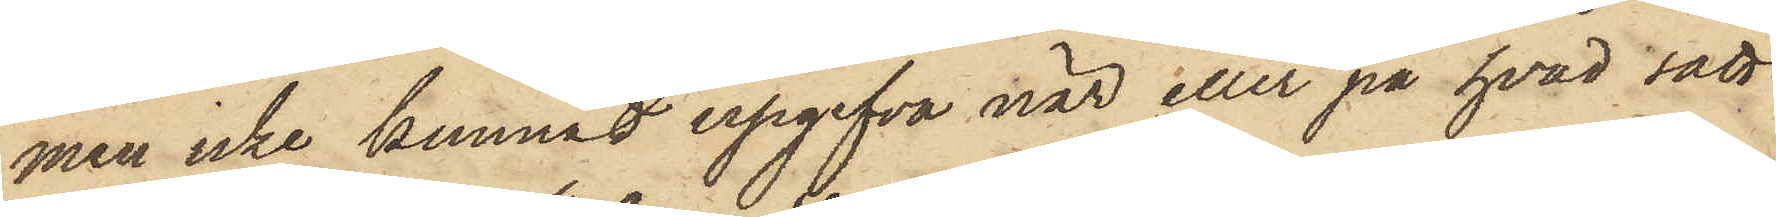men icke kunnat upgifva när eller på hvad sätt
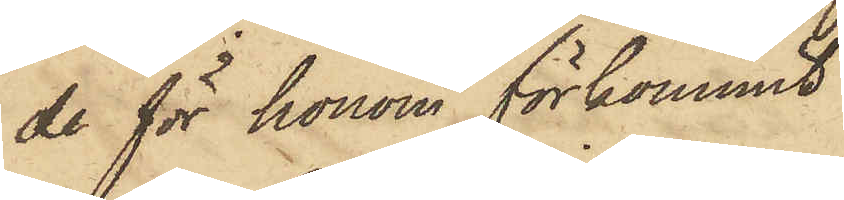de för honom förkommit.
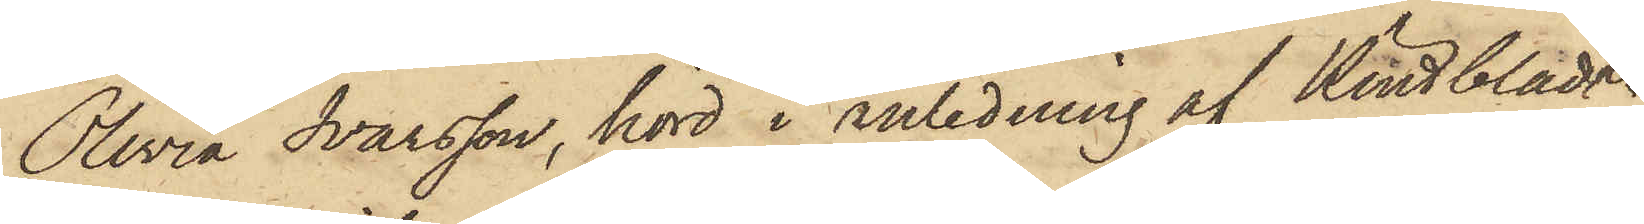Olivia Ivarsson, hörd i anledning af Kindblads
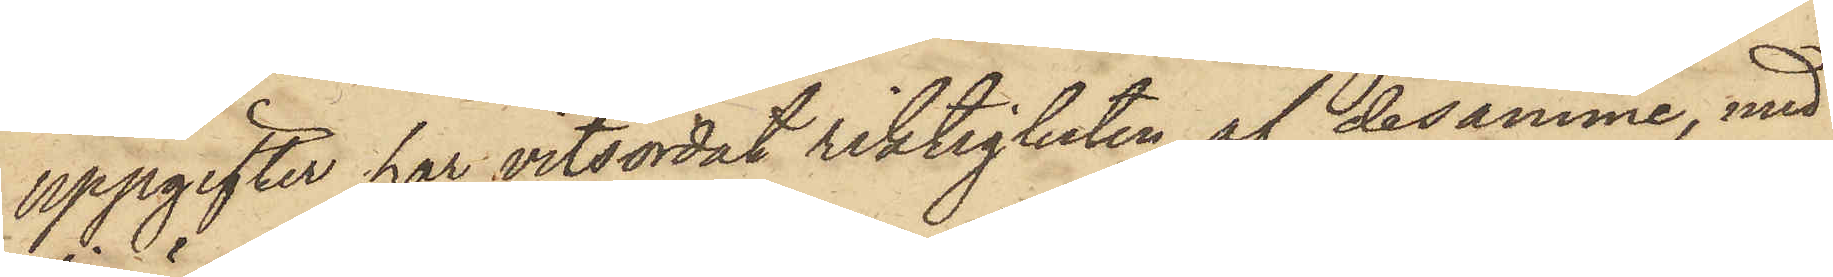uppgifter har vitsordat riktigheten af desamme, med
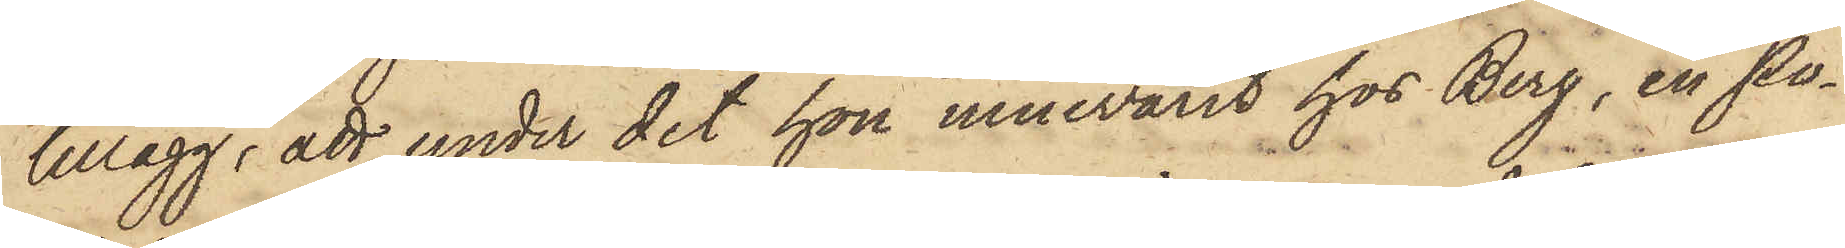tillägg, att under det hon innevarit hos Berg, en Po¬
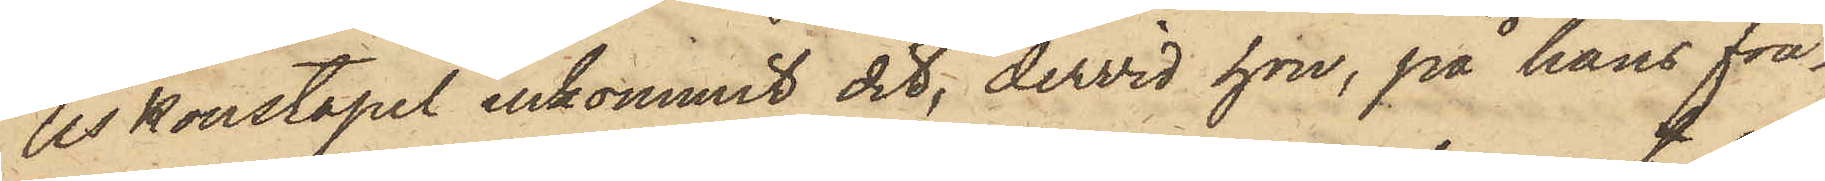liskonstapel inkommit dit, dervid hon, på hans frå¬
